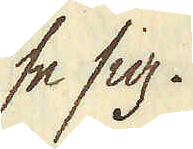se sig.
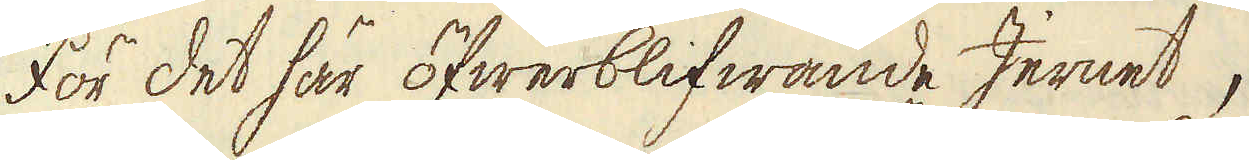För det här öfwerblifwande Jernet,
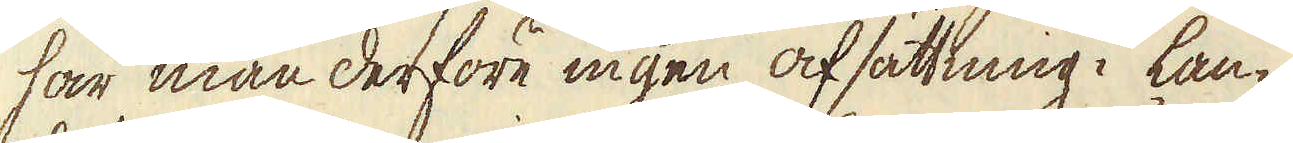har man derföre ingen afsättning i lan-
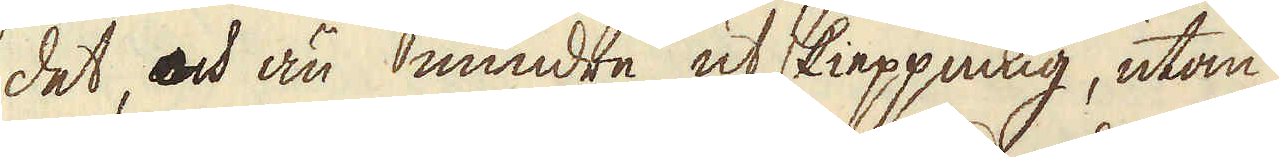det, och än mindre ut skieppning, utan
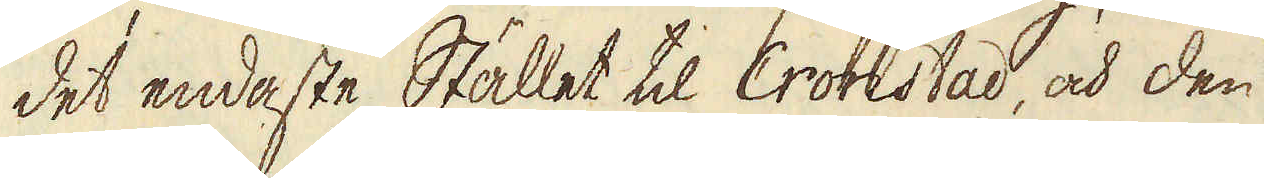det endaste Stället til Cronstad, och den
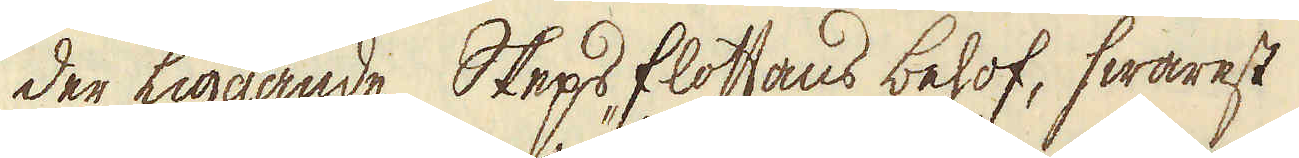der liggande Skepsflottans behof, hwarest
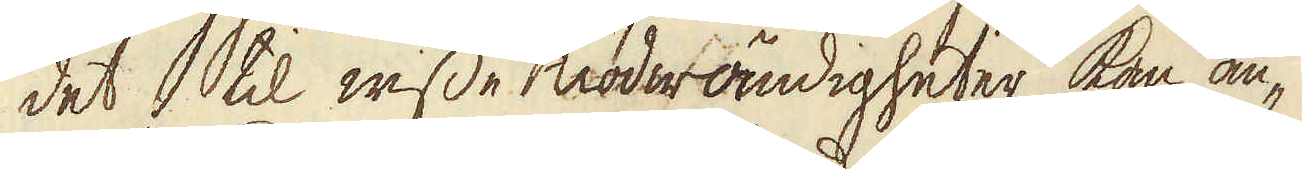det til wisse nödwändigheter kan an-
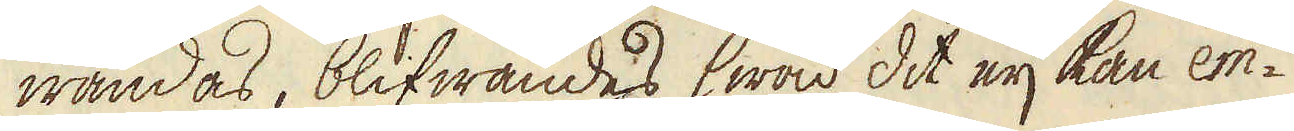wändas, blifwandes hwad dit eij kan em-
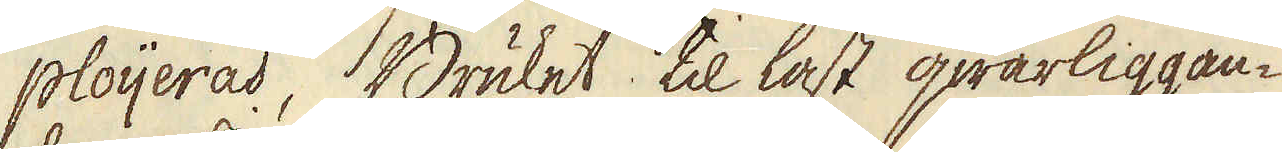ploijeras, Bruket til last qwarliggan-
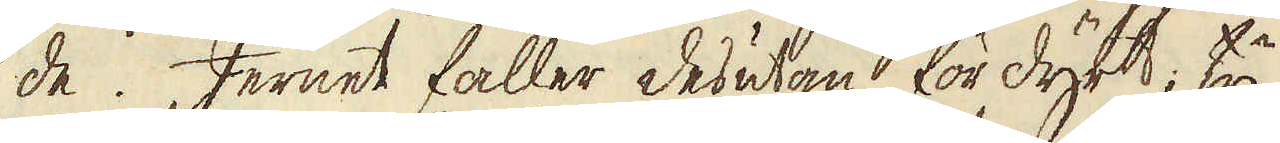de. Jernet faller desutan för dyrt; ty
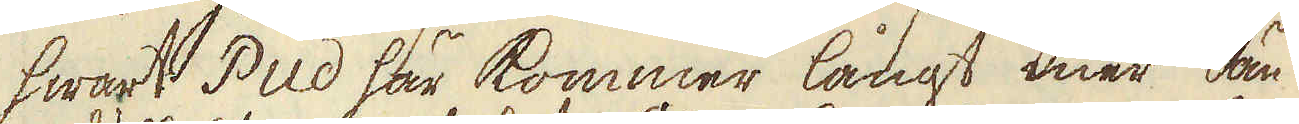hwart Pud här kommer långt mer än
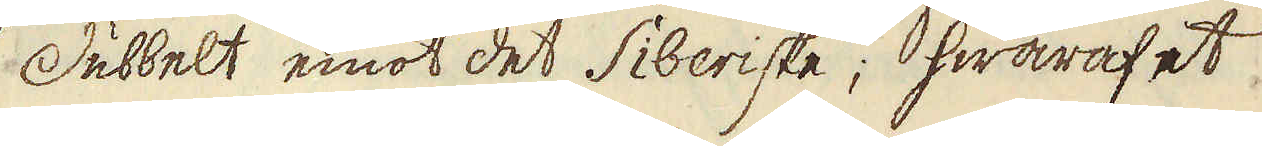dubbelt emot det Siberiske; hwaraf et
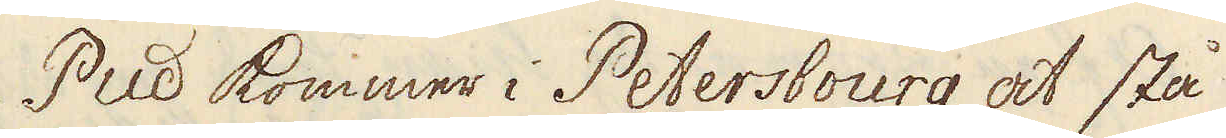Pud kommer i Petersbourg at stå
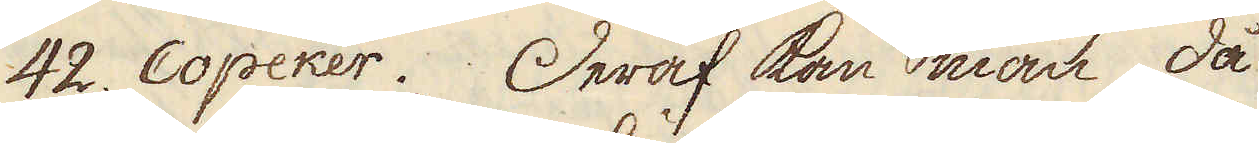42. Copeker. Deraf kan man då
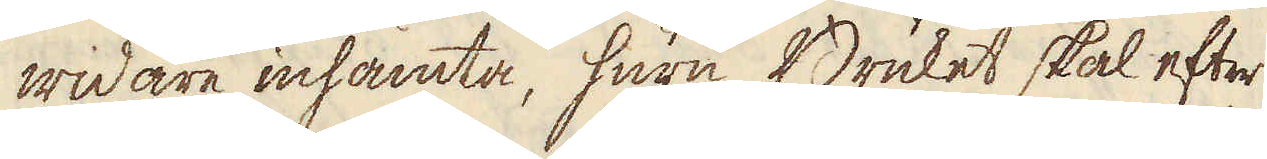widare inhämta, huru Bruket skal efter
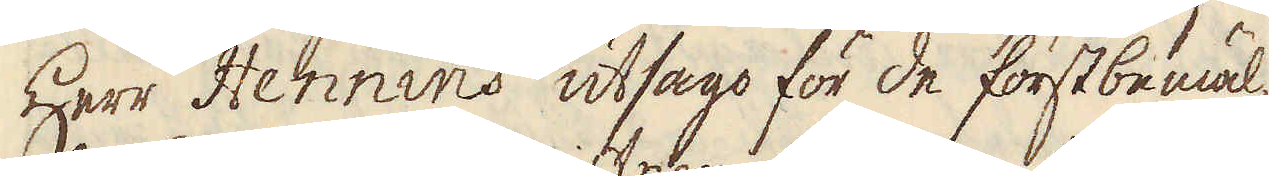Herr Hennins utsago för de förstbemäl-
